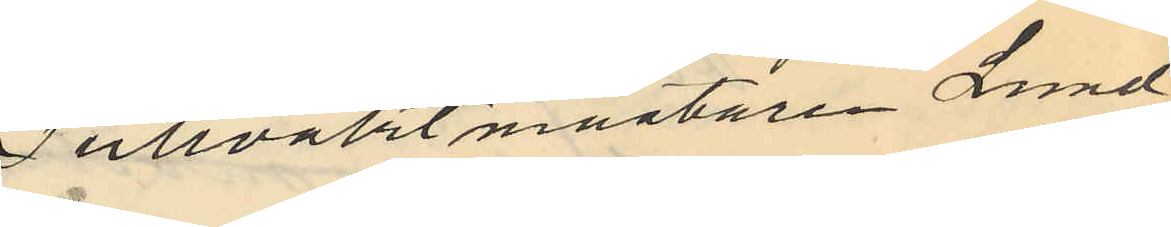Tullvaktmästaren Lund¬
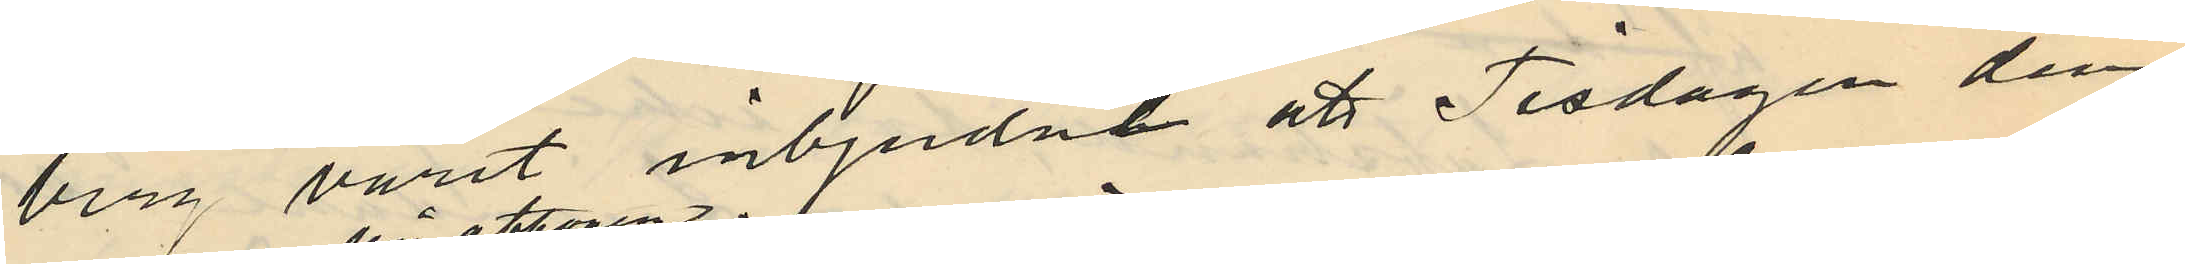berg varit inbjudne att Tisdagen den
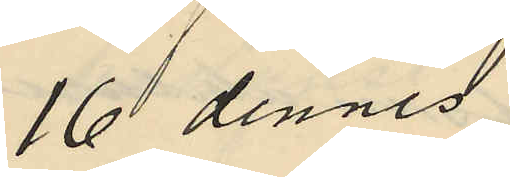16 dennes
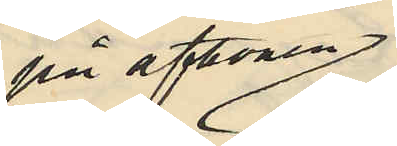på aftonen
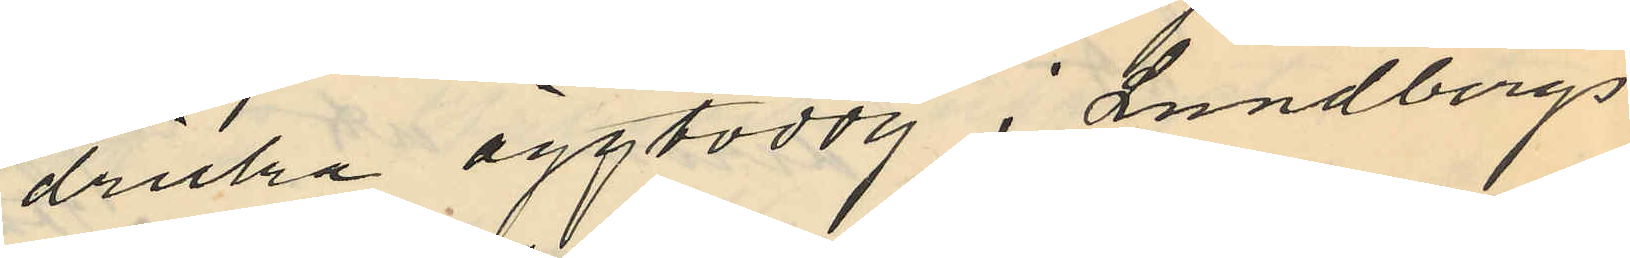dricka äggtoddy i Lundbergs
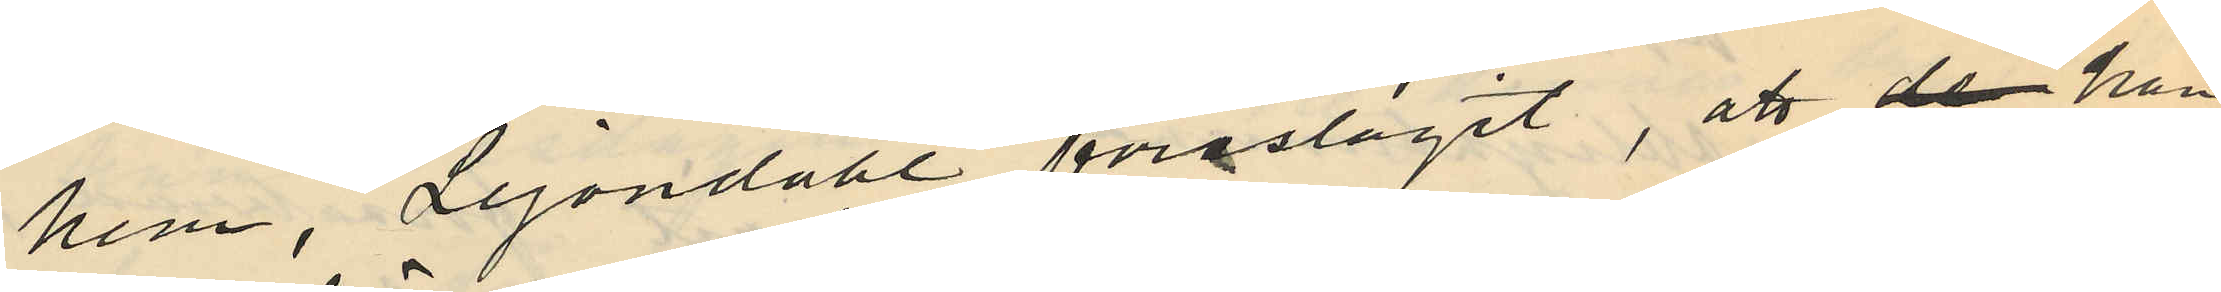hem, Lejondahl föreslagit, att de han
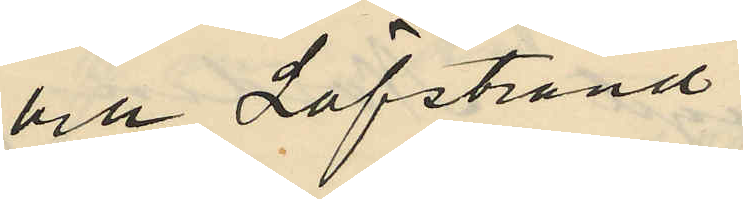och Löfstrand
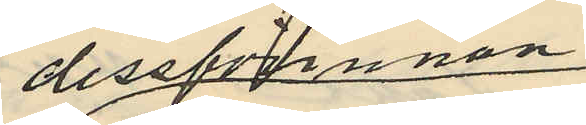dessförinnan
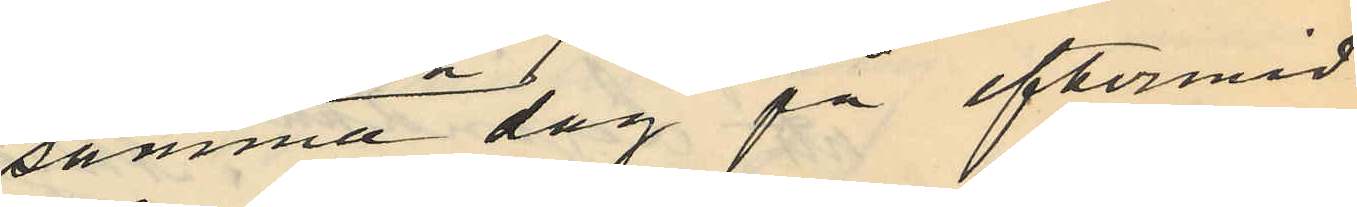samma dag på eftermid
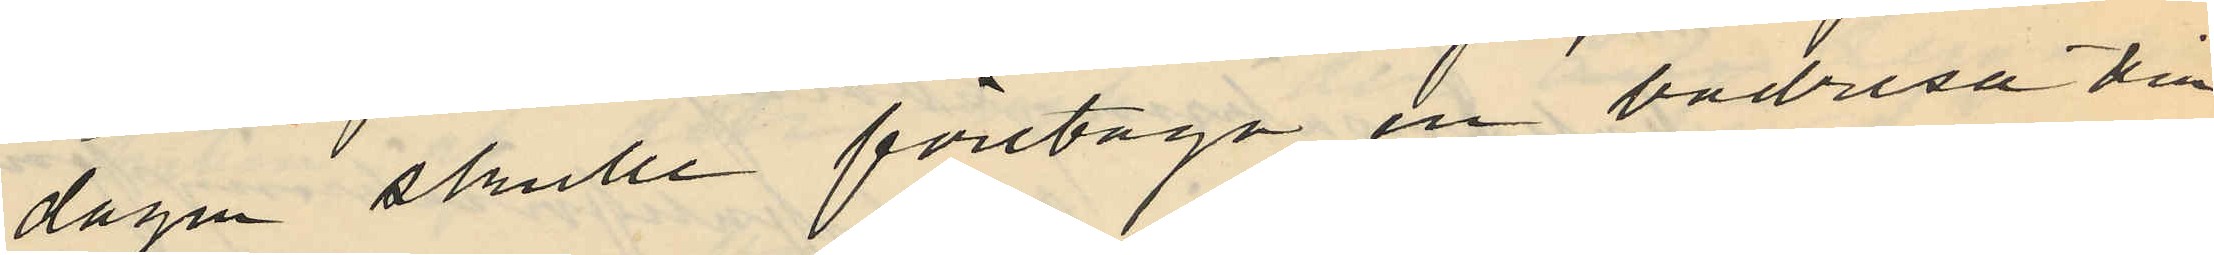dagen skulle företaga en badresa till
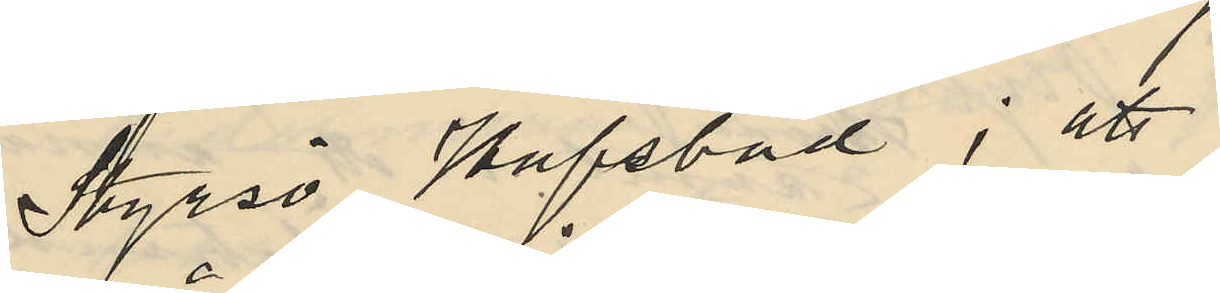Styrsö Hafsbad; att
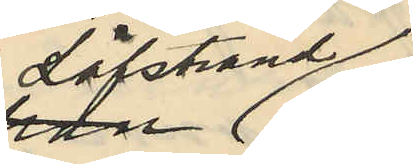Löfstrand
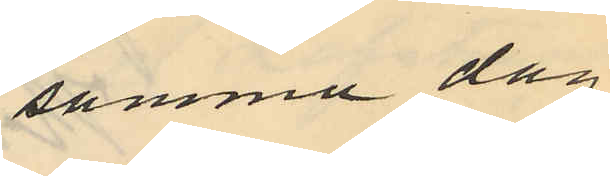samma dag
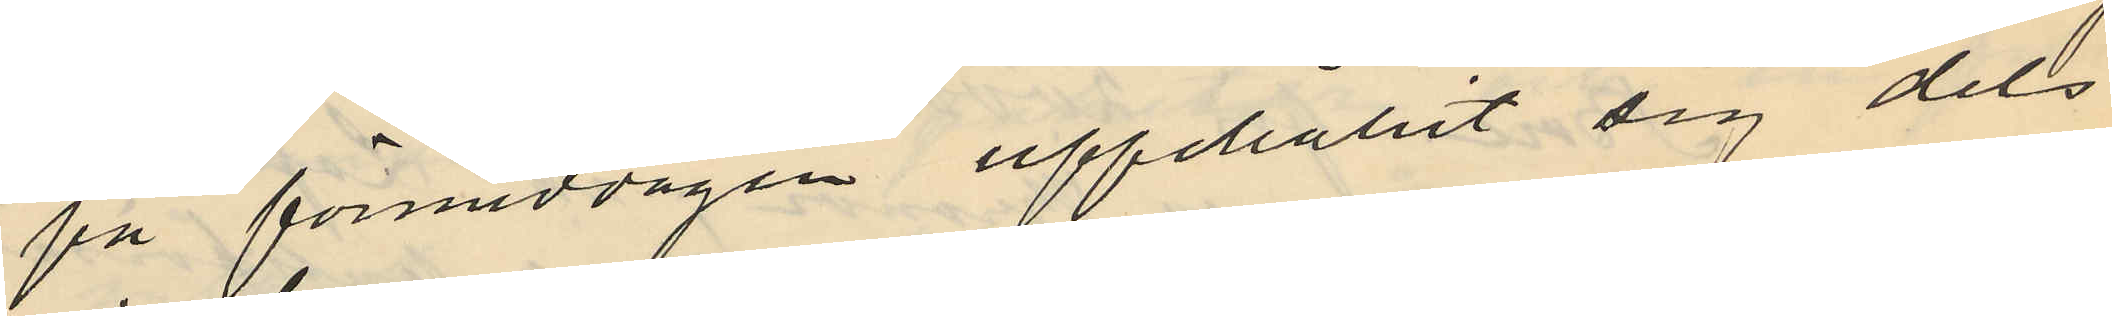på förmiddagen uppehållit sig dels
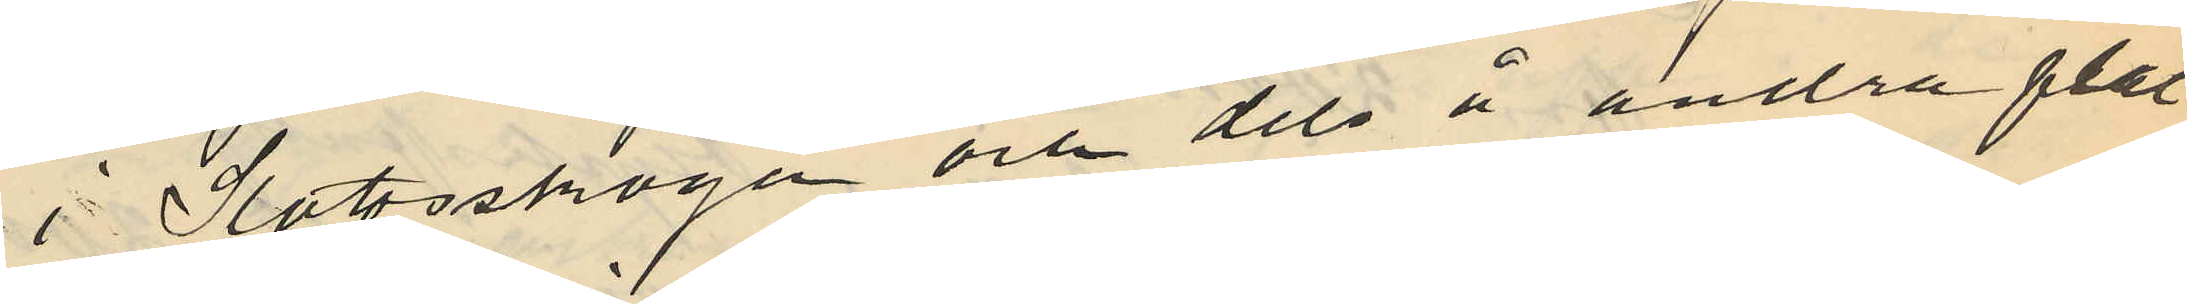i Slottsskogen och dels å andra plat
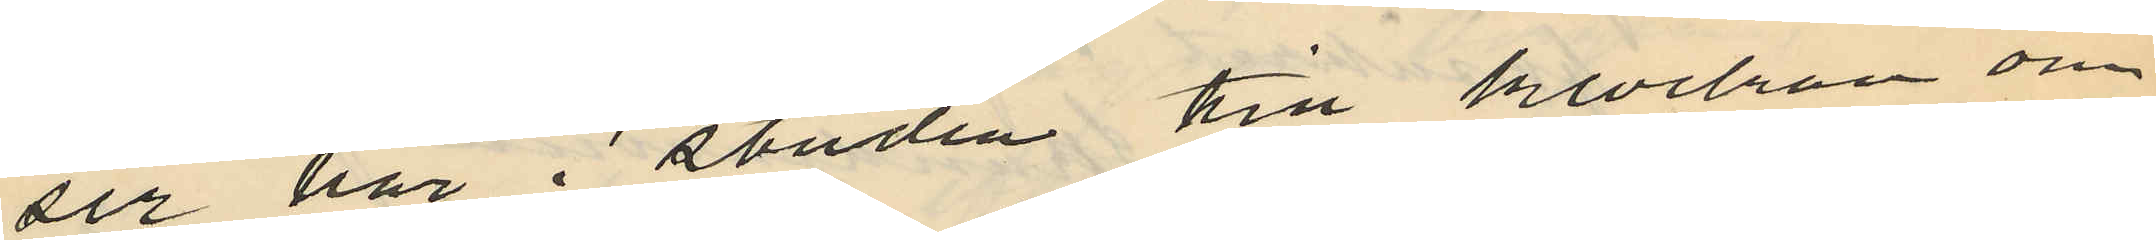ser här i staden till klockan om¬
